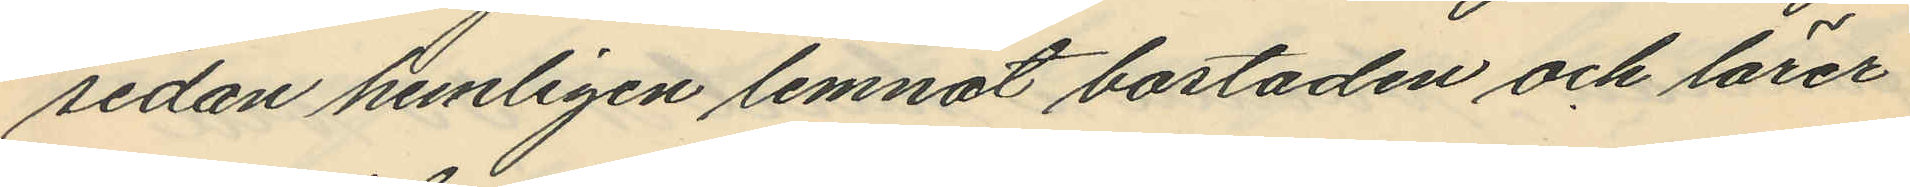sedan hemligen lemnat bostaden och lärer
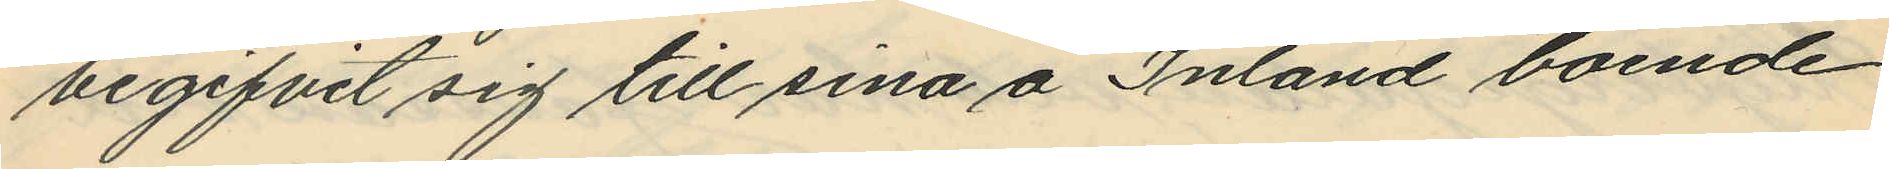begifvit sig till sina å Inland boende
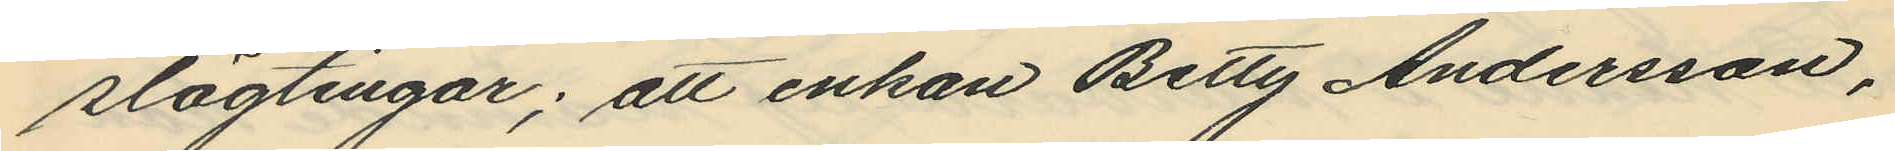slägtingar; att enkan Betty Andersson,
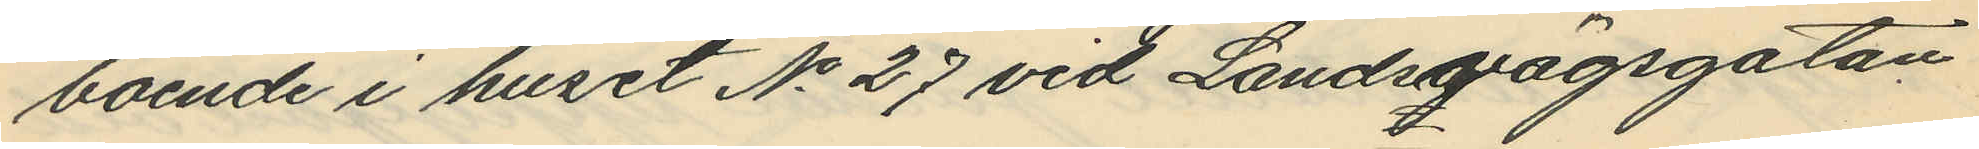boende i huset No 27 vid Landsvägsgatan
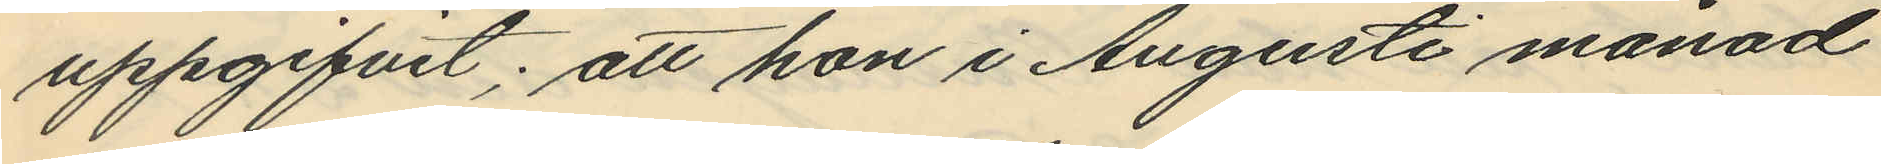uppgifvit; att hon i Augusti månad
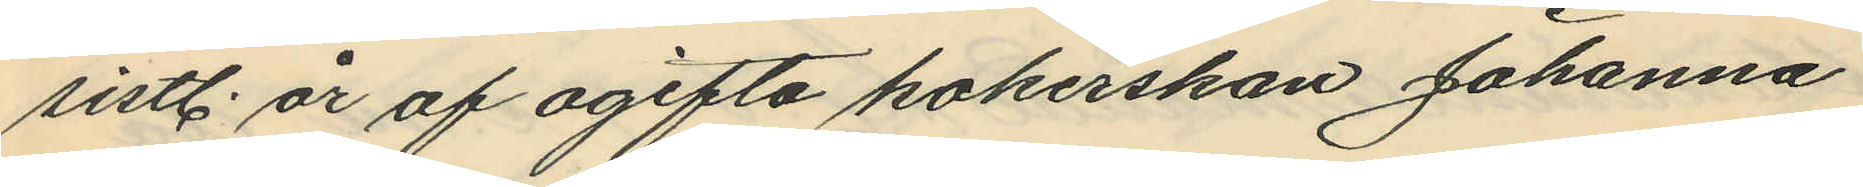sistl. år af ogifta kokerskan Johanna
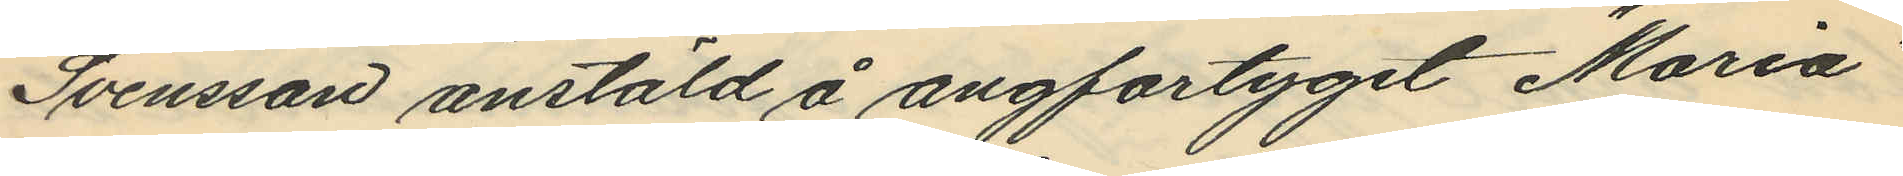Svensson anstäld å angfartyget "Maria"
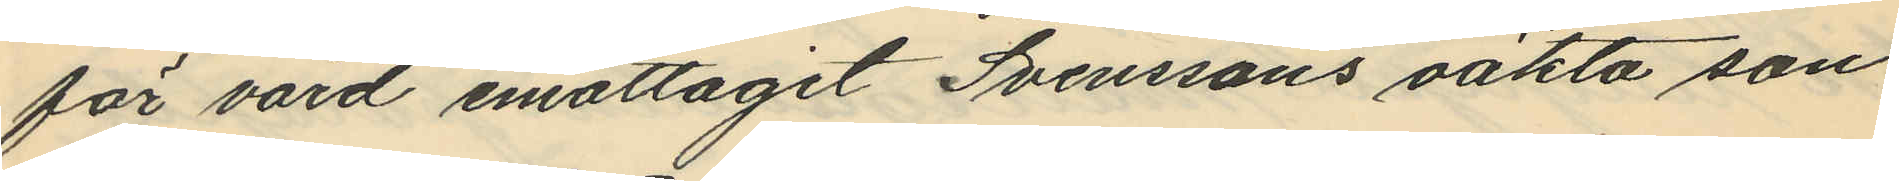för vård emottagit Svenssons oäkta son
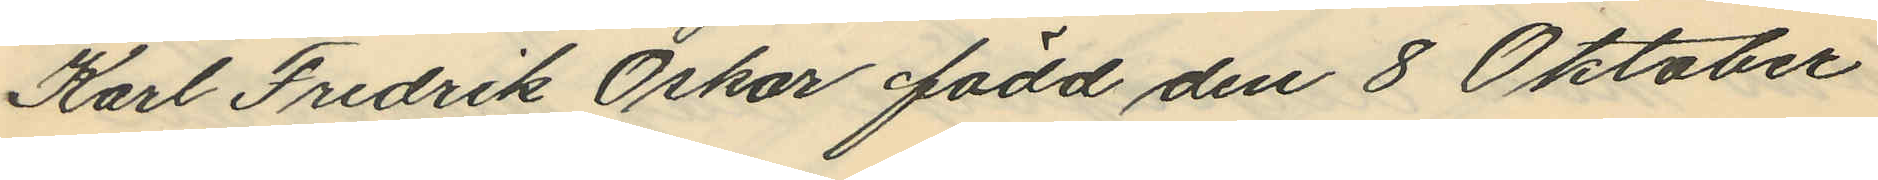Karl Fredrik Oskar född den 8 Oktober
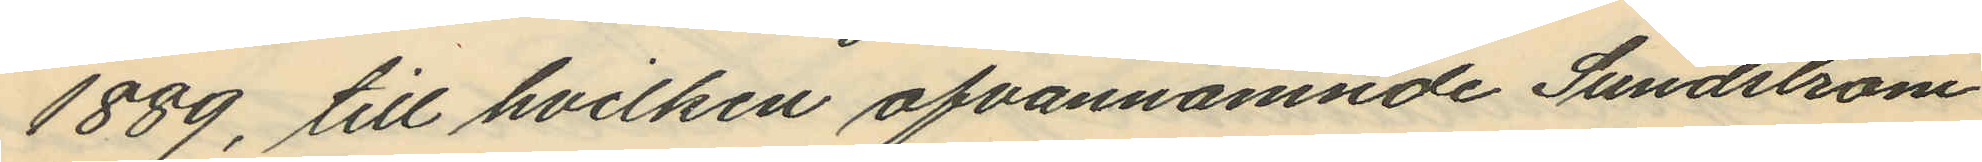1889, till hvilken ofvannämnde Sundström
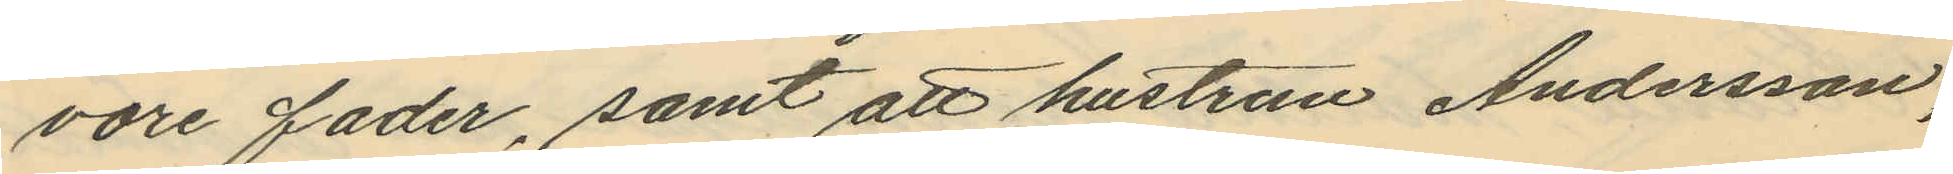vore fader, samt att hustrun Andersson,
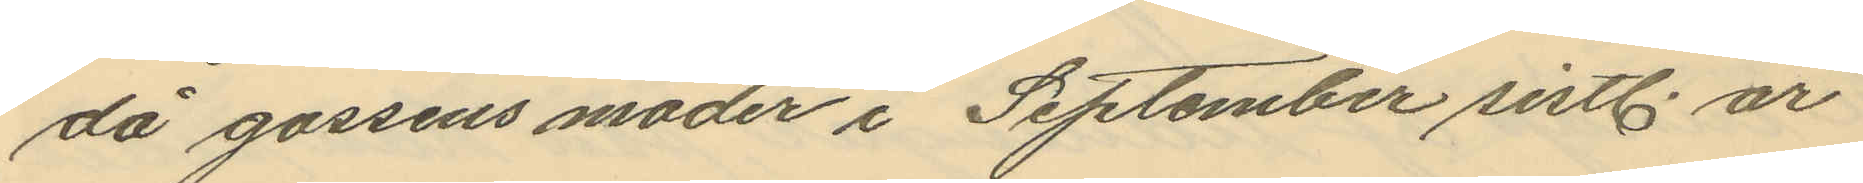då gossens moder i September sistl. år
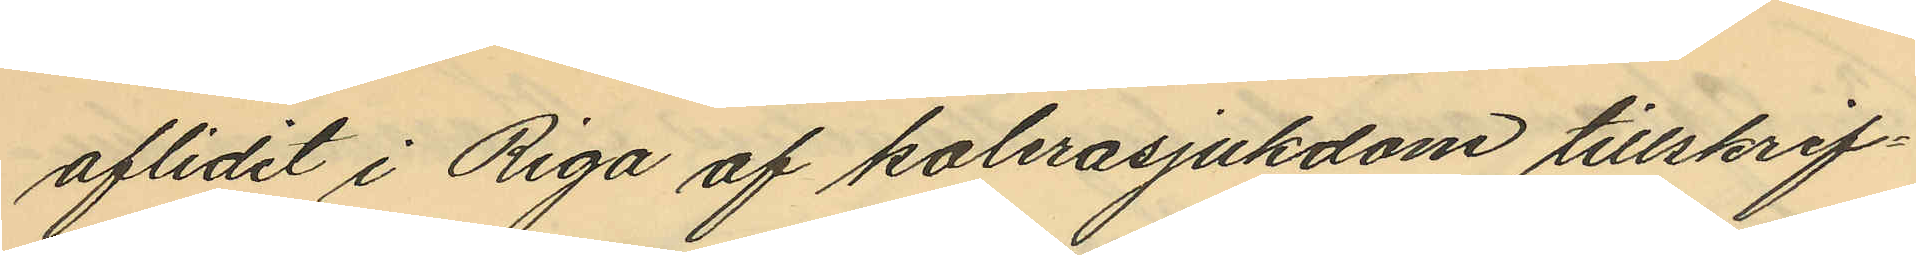aflidet i Riga af kolerasjukdom tillskrif¬
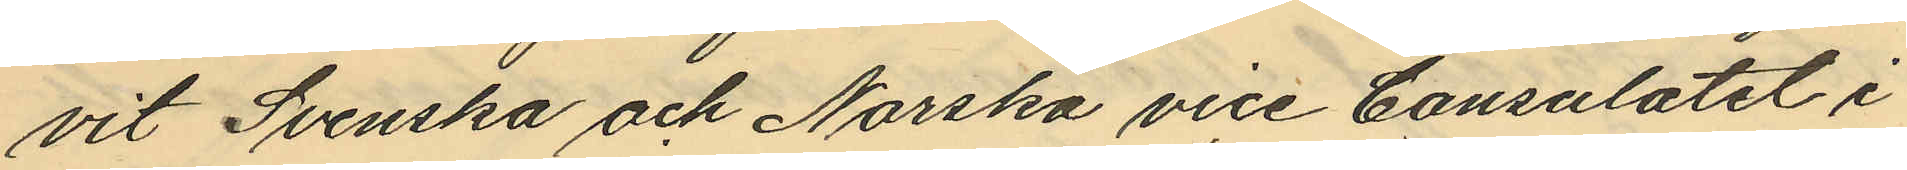vit Svenska och Norska vice Consulatet i
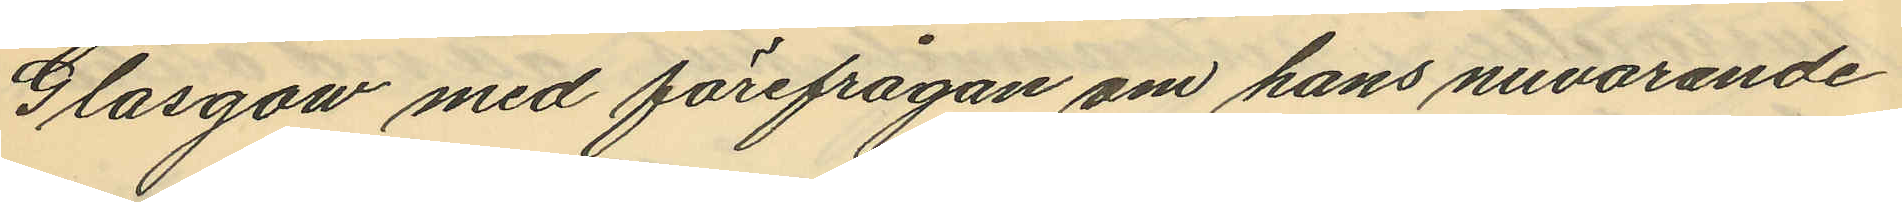Glasgow med förefrågan om hans nuvarande
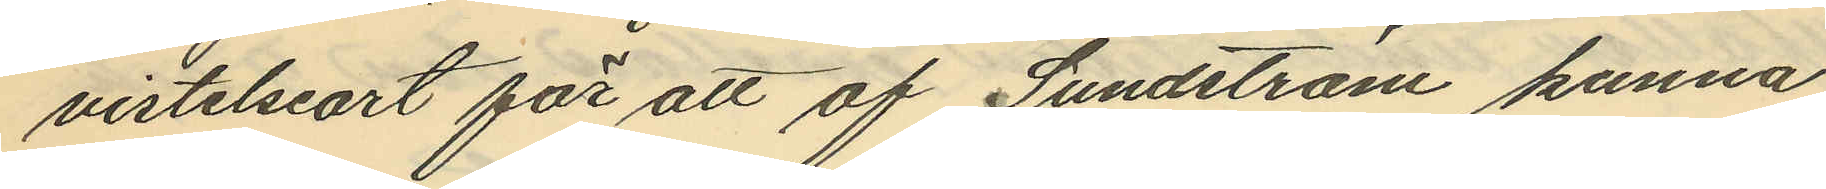vistelseort för att af Sundström kunna
